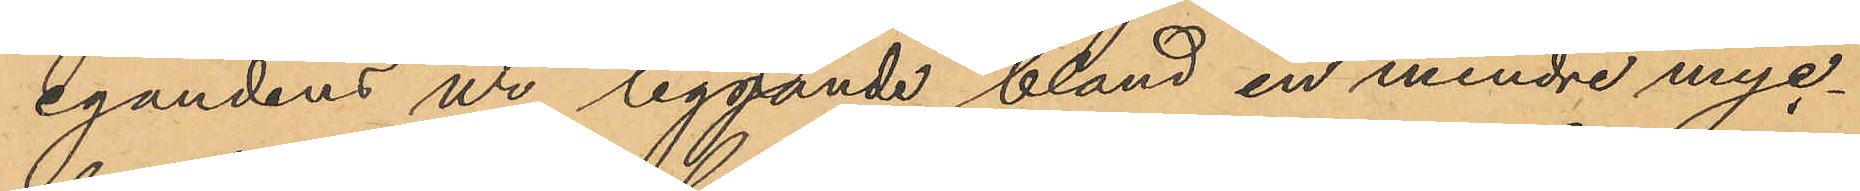egandens ur liggande bland en mindre myc¬
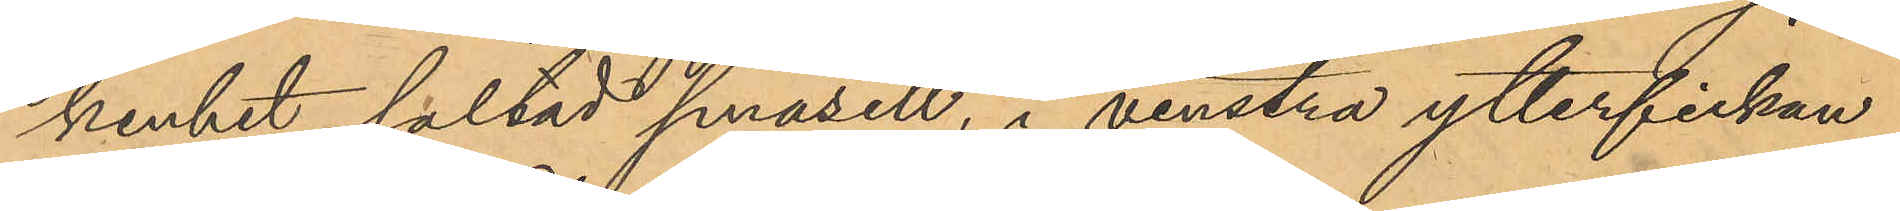kenhet saltad småsill, i venstra ytterfickan
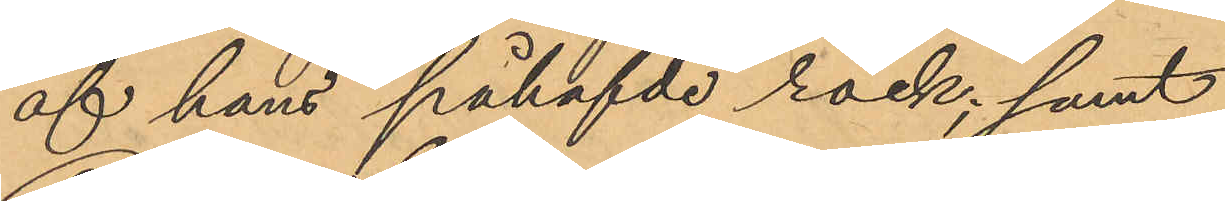af hans påhafvde rock; samt
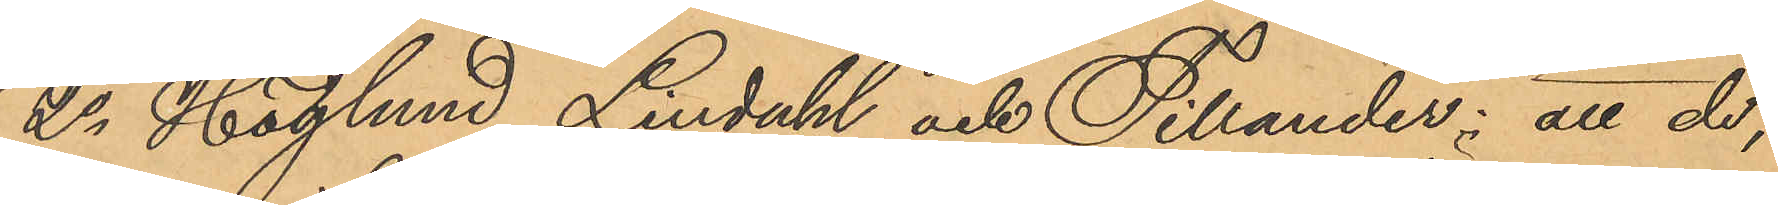2o Höglund, Lindahl och Tillander: att de,
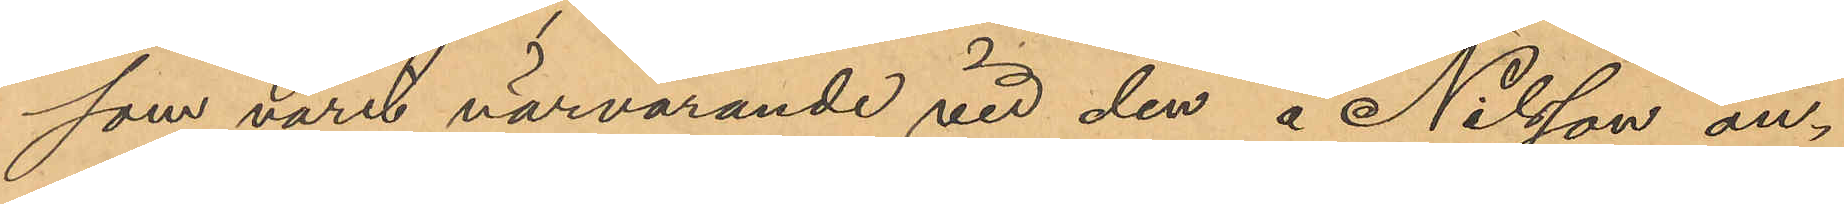som varit närvarande vid den å Nilsson an¬
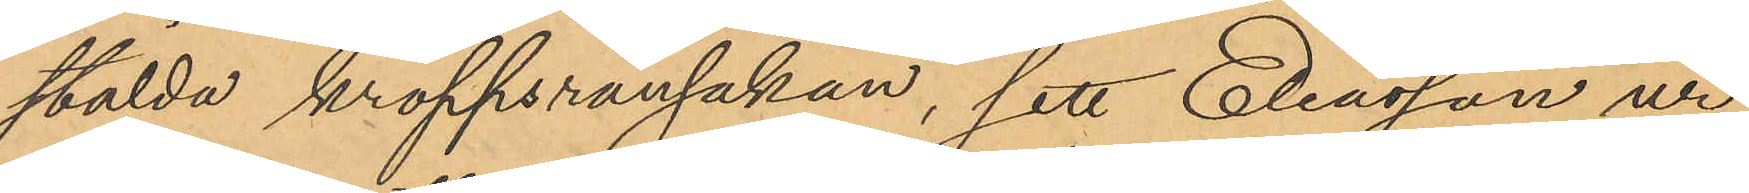stälda kroppsransakan, sett Eliasson ur
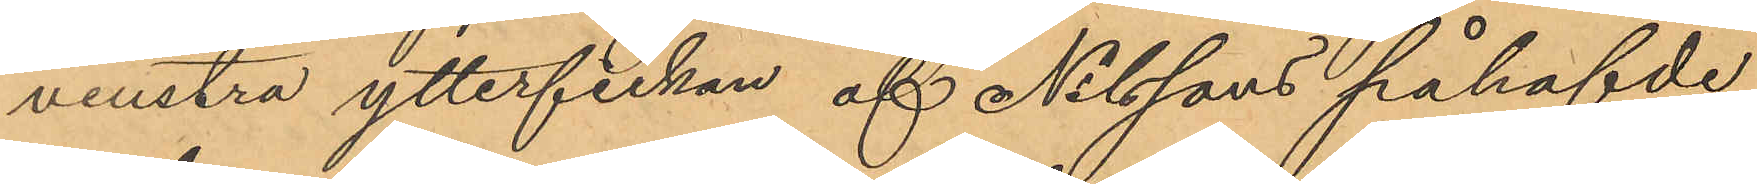venstra ytterfickan af Nilssons påhafvde
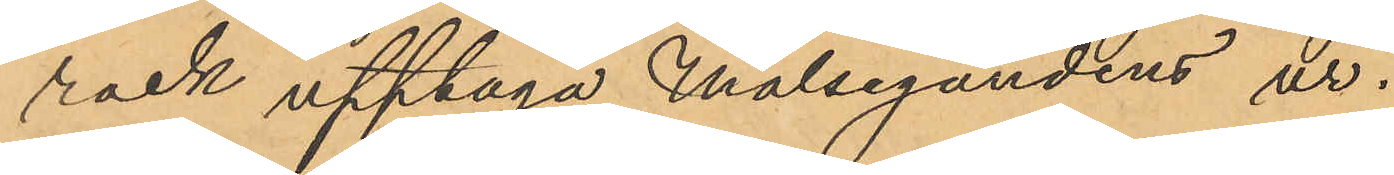rock upptaga Målsegandens ur.
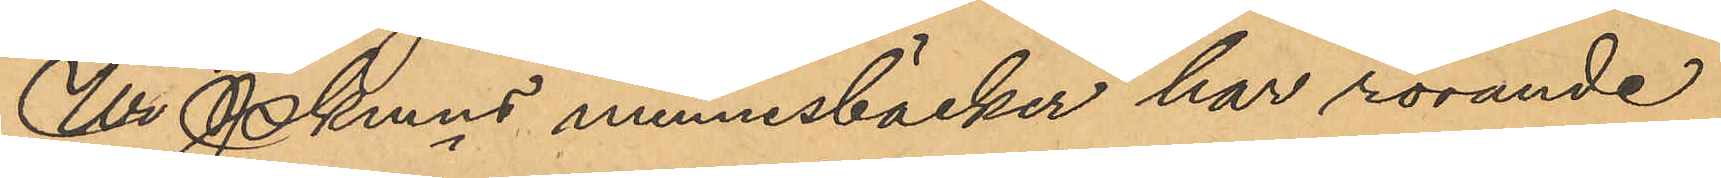Ur Pkmns minnesböcker har rörande
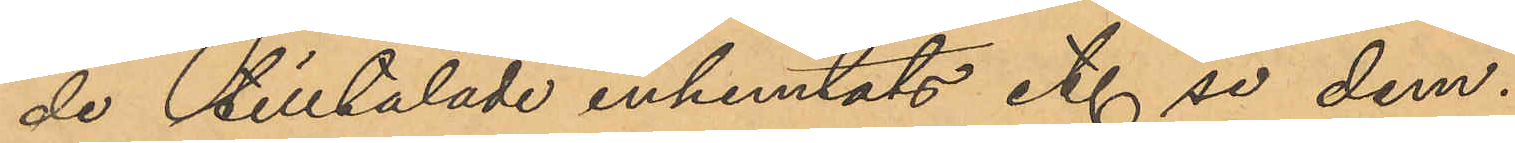de tilltalade inhemtats etc se dem.
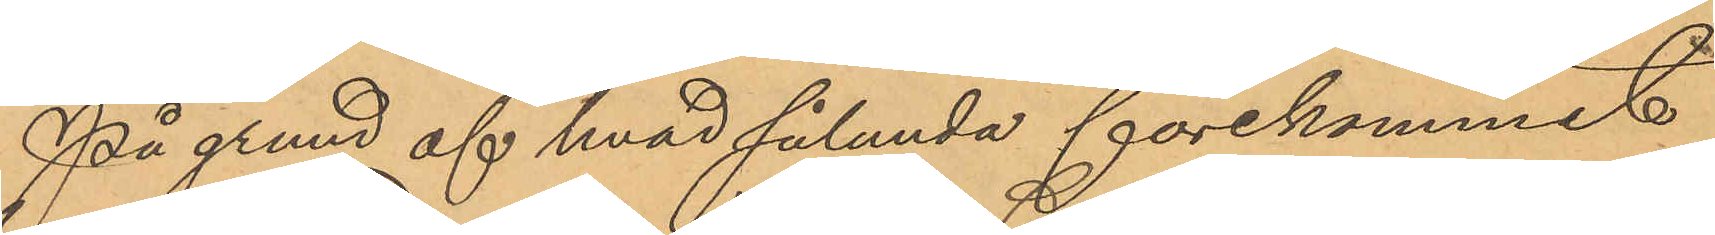På grund af hvad sålunda förekommit
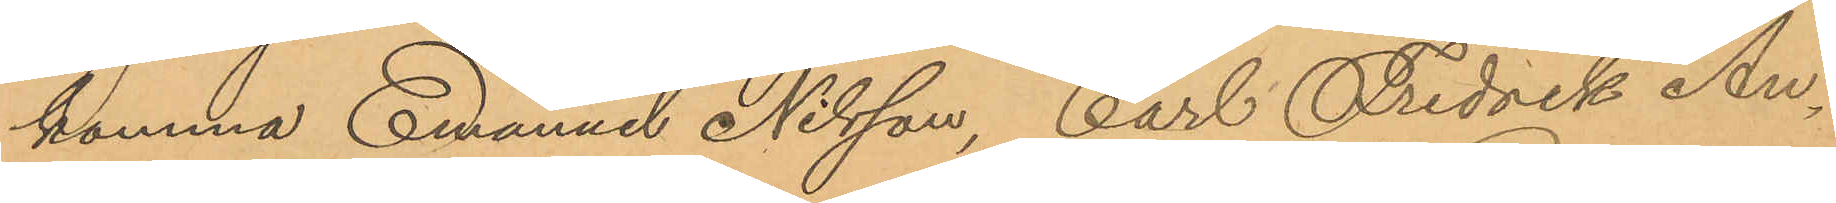komma Emanuel Nilsson, Carl Fredrik An¬
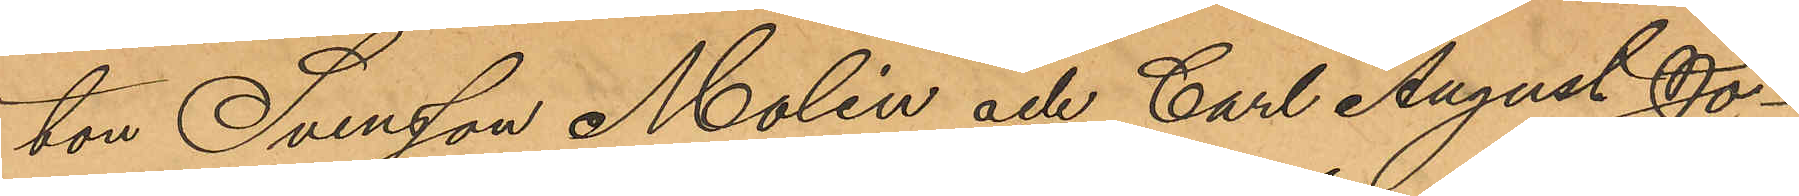ton Svensson Molin och Carl August Jo¬
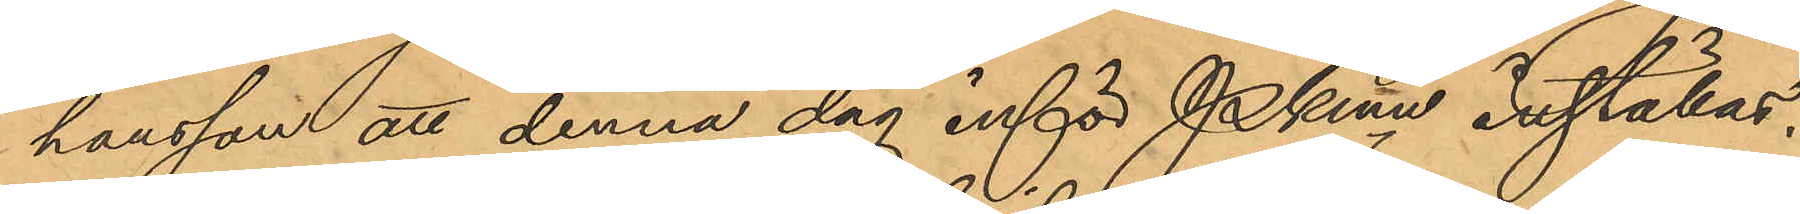hansson att denna dag inför Pkmn inställas.
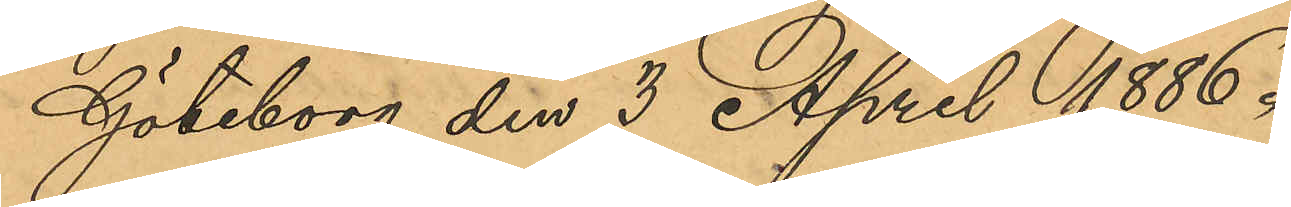Göteborg den 3 April 1886.
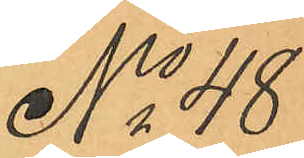No 48
